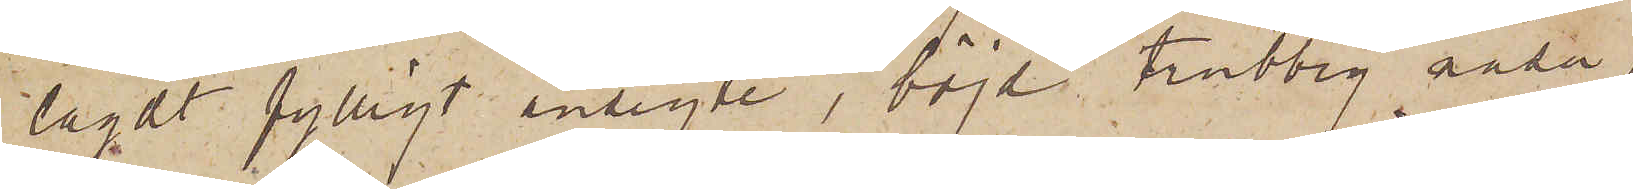lagdt fylligt ansigte, böjd trubbig näsa,
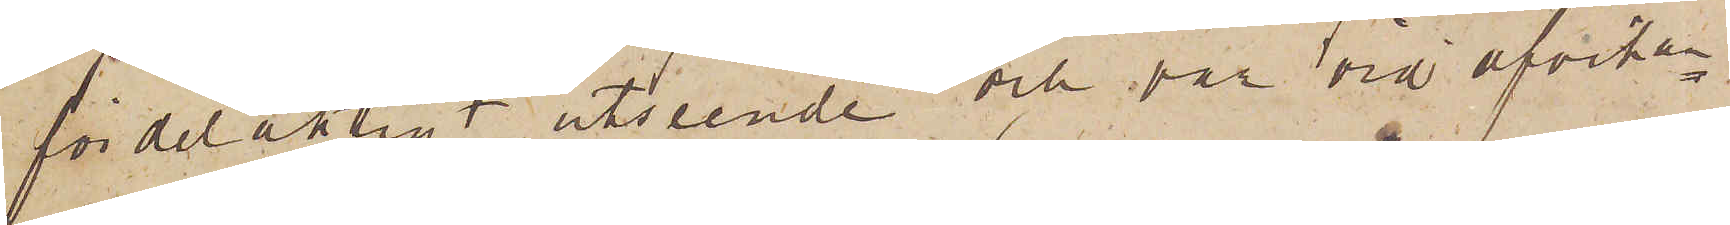fördelaktigt utseende och var vid afvikan¬
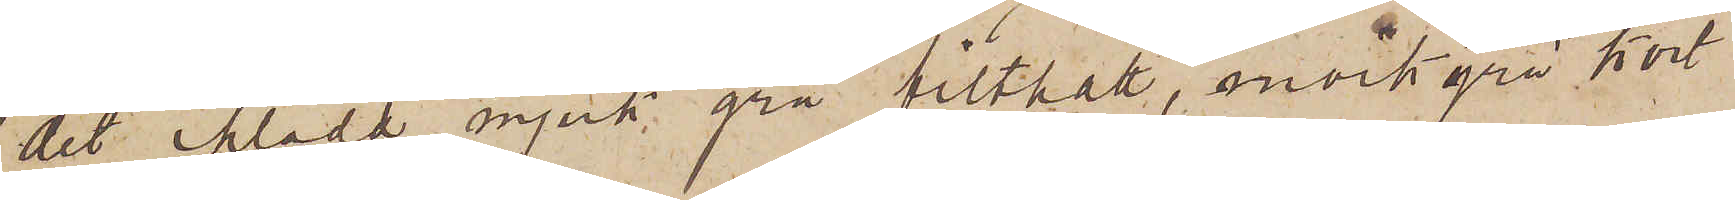det iklädd mjuk grå filthatt, mörkgrå kort
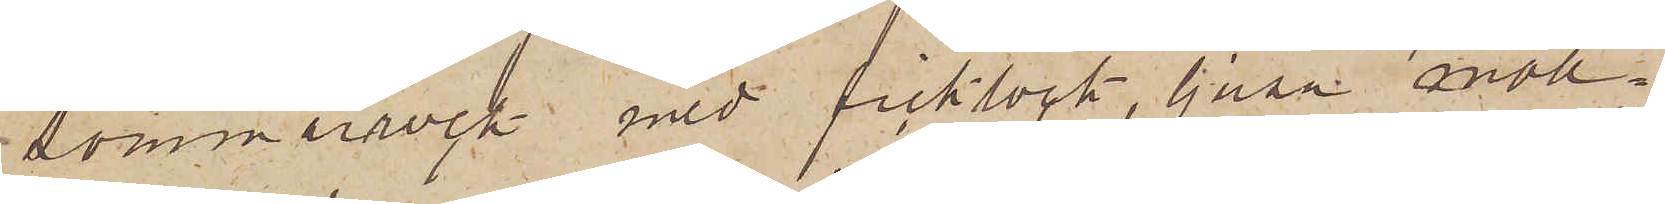sommarrock med ficklock, ljusa moll¬
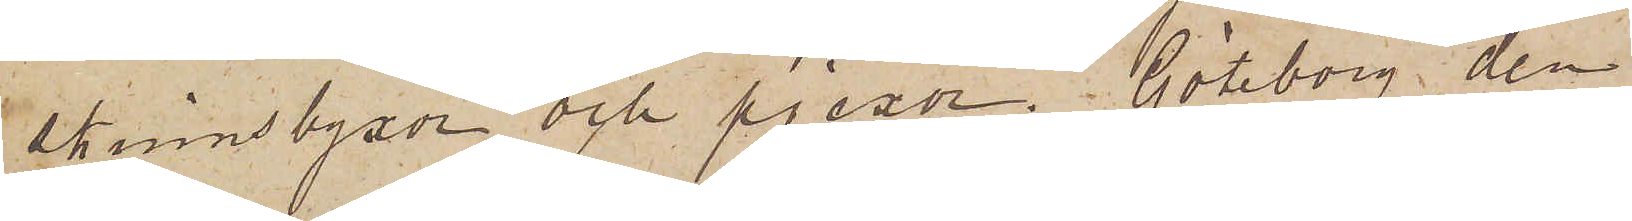skinnsbyxor och pjexor. Göteborg den
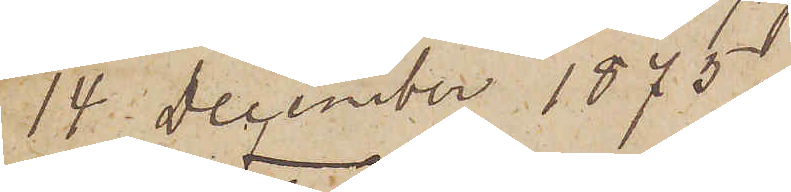14 December 1875.
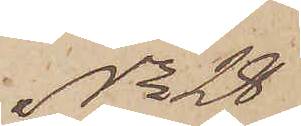No 28
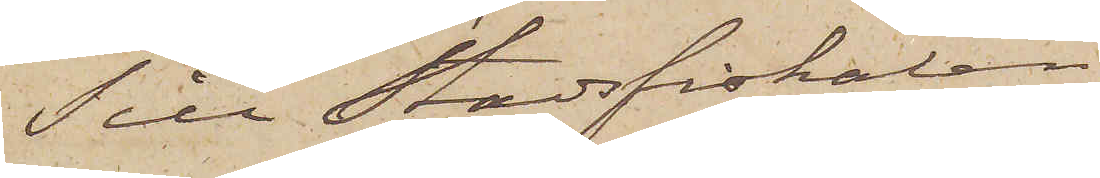Till Stadsfiskalen i
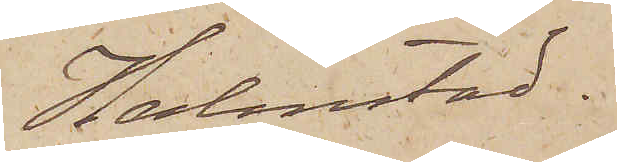Holmstad.
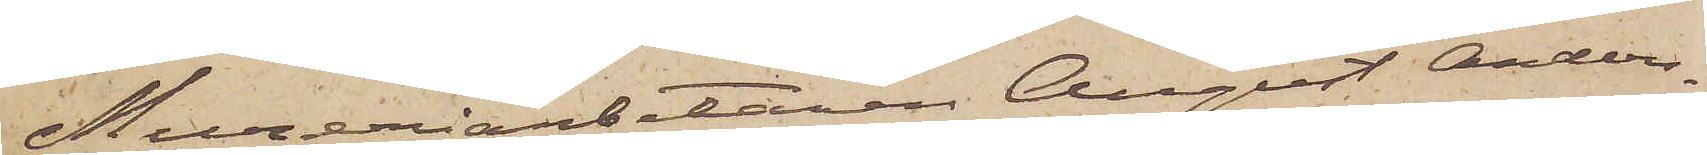Mureriarbetaren August Anders¬
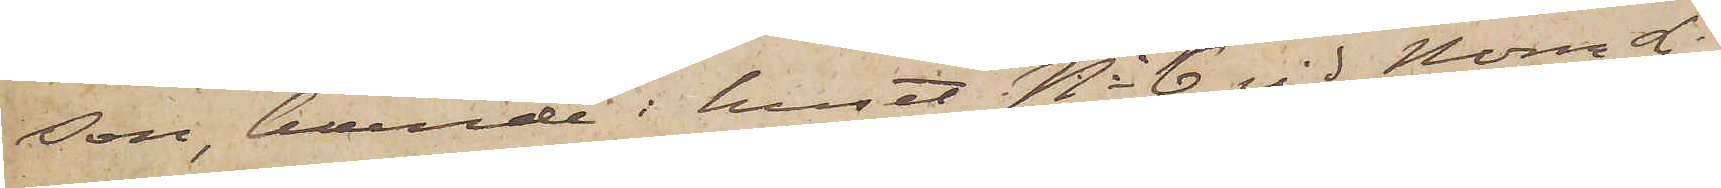son, boende i huset No 6 vid Norra Li¬
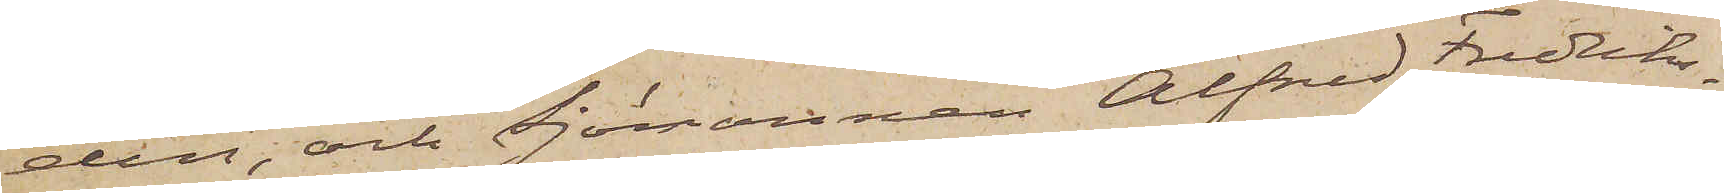den, och Sjömannen Alfred Fredriks¬
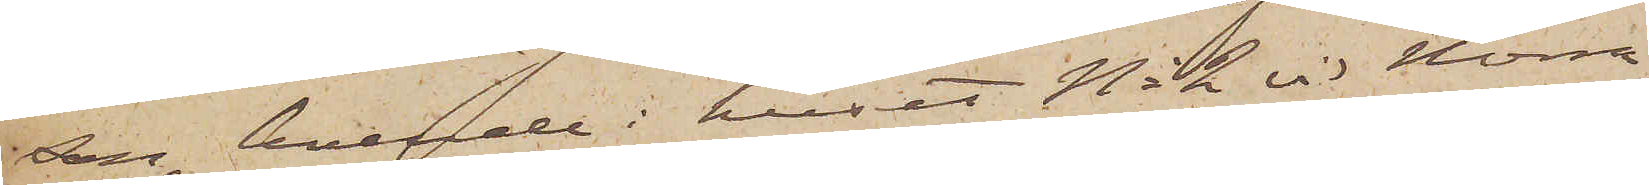son, boende i huset No 2 vid Norra
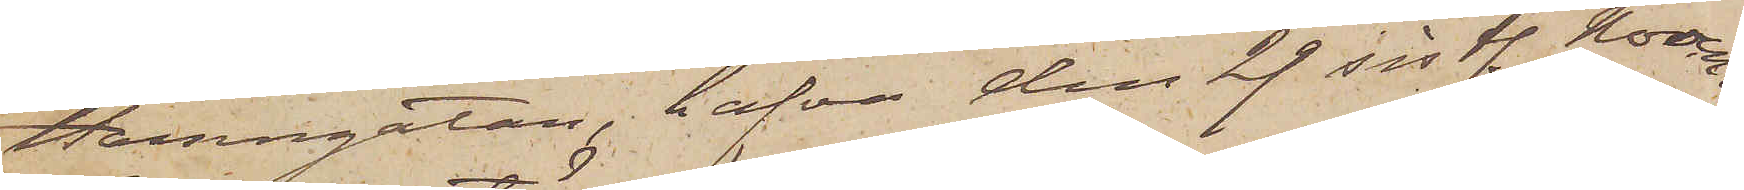Hamngatan, hafva den 29 sistl. Novem¬
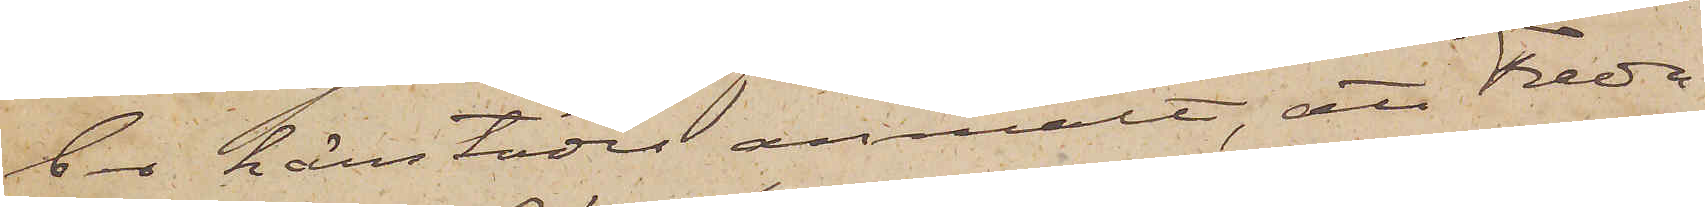ber härstädes anmält, att Freda¬
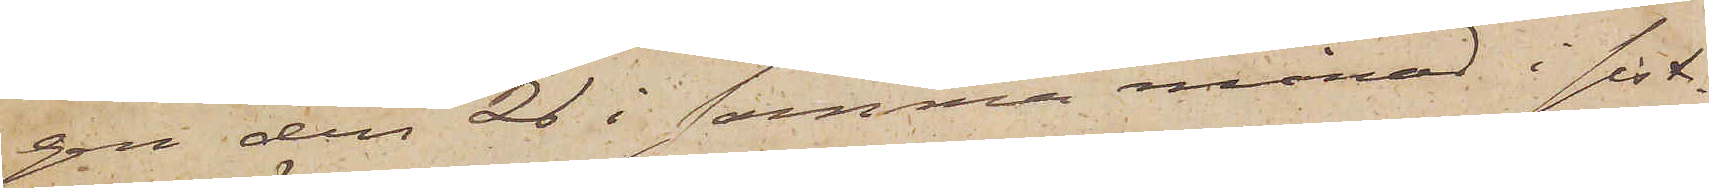gen den 26 i samma månad i sist¬
